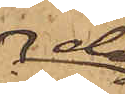dag
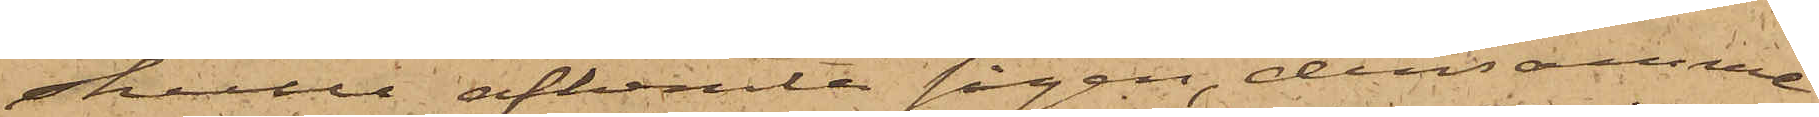skulle afhemta sågen, densamma
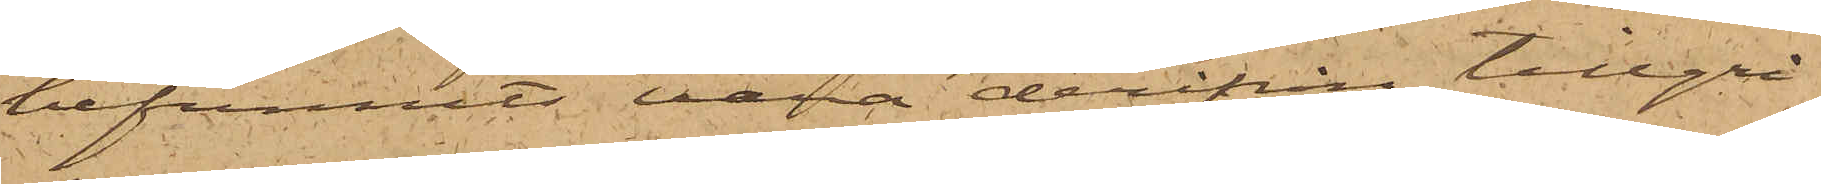befunnits vara derifrån tillgri¬
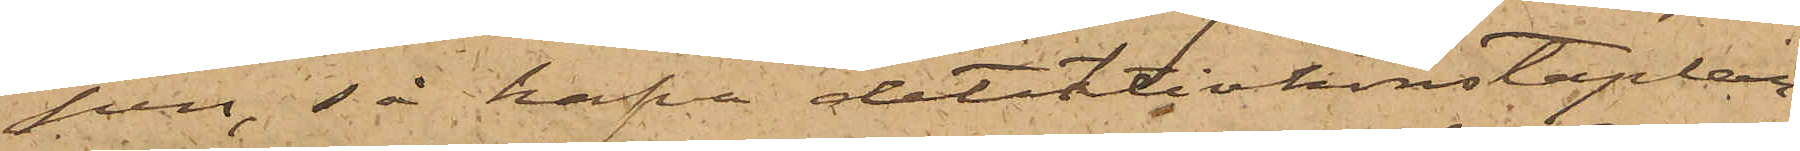pen, så hafva detektivkonstaplar¬
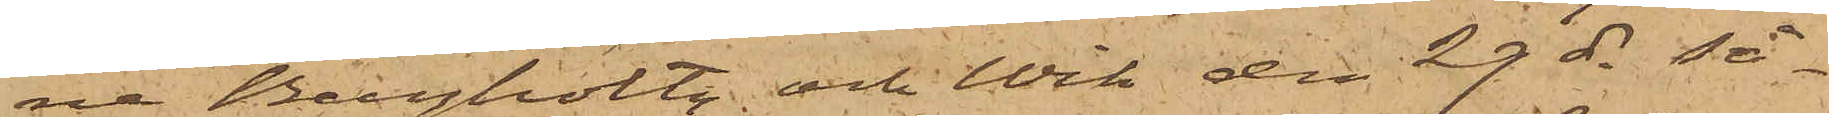ne Bergholtz och Wik den 29 ds så¬
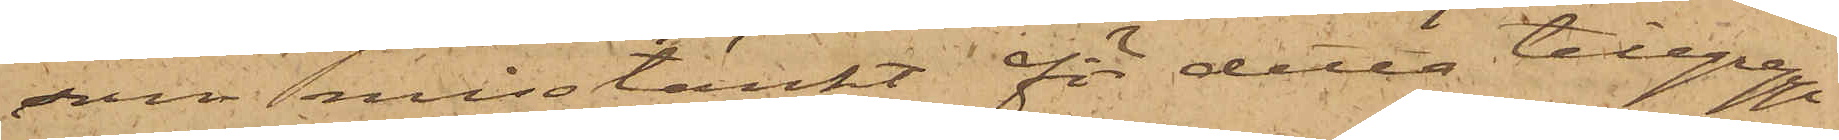som misstänkt för detta tillgrepp
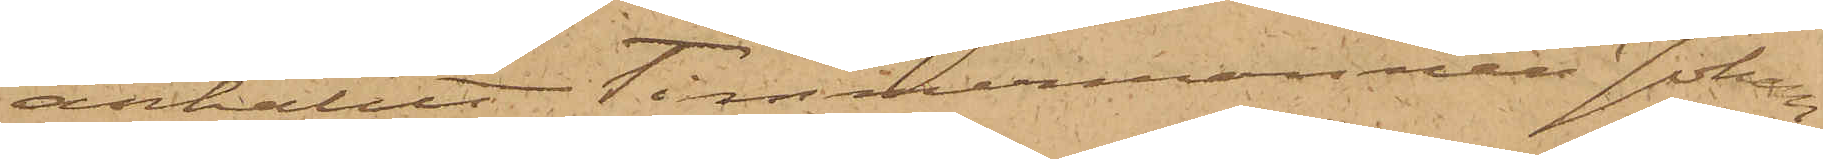anhållit Timmermannen Johan¬
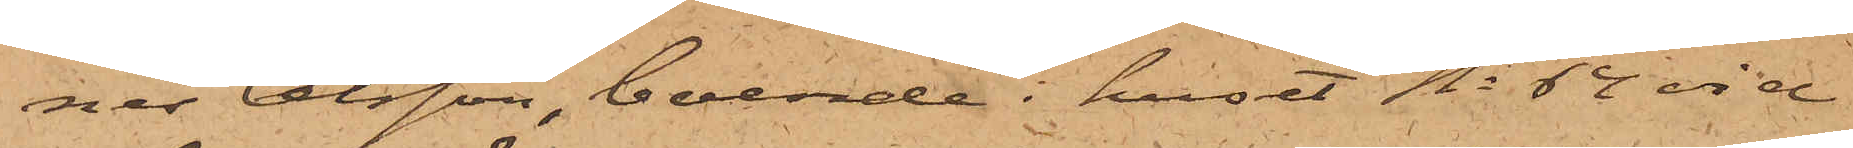nes Olsson, boende i huset No 64 vid
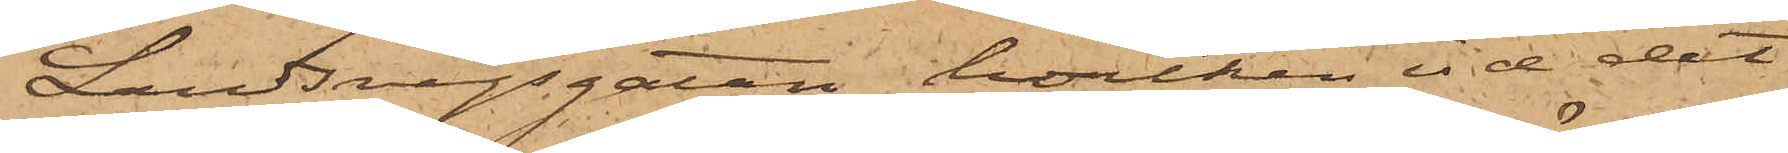Landsvägsgatan, hvilken vid det
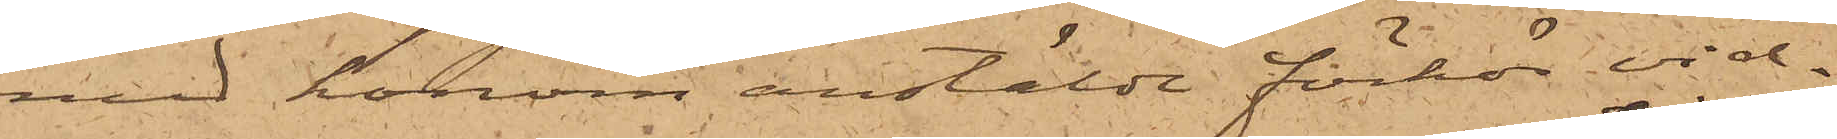med honom anstäldt förhör vid¬
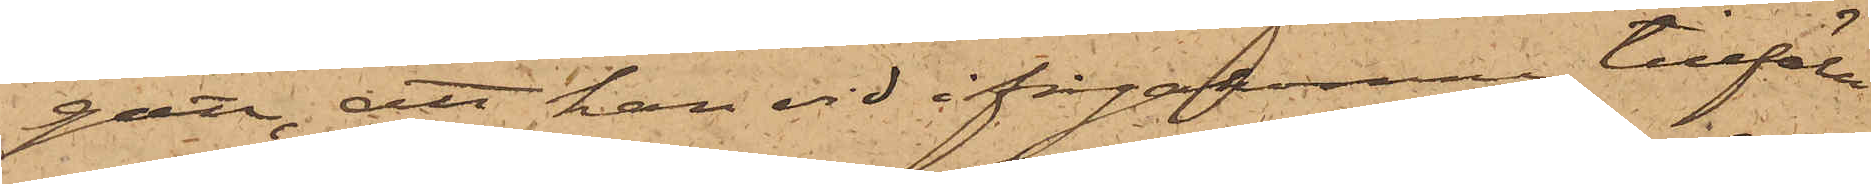gått, att han vid ifrågakomne tillfälle
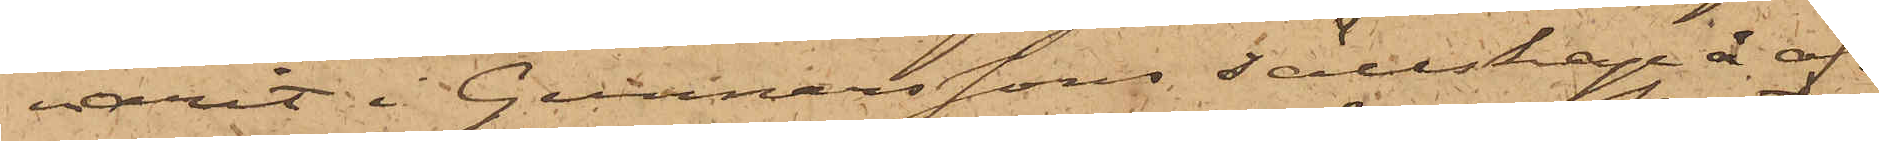varit i Gunnarssons sällskap å of¬
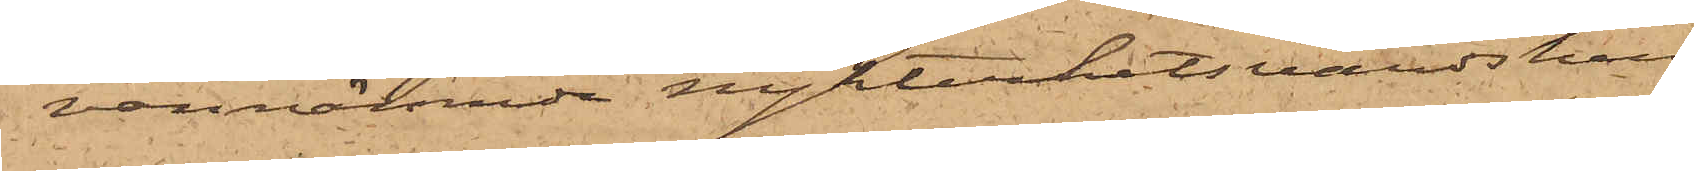vannämnde nykterhetsvärdshus;
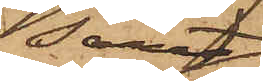samt
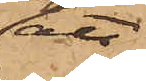att
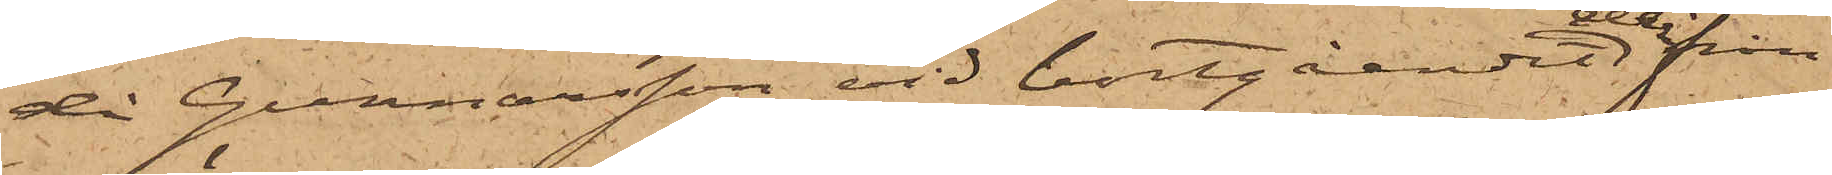då Gunnarsson vid bortgåendet derifrån
